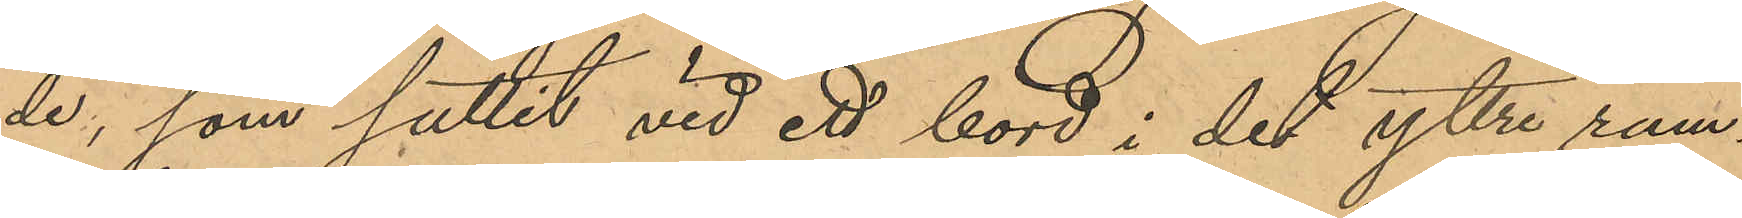de, som suttit vid ett bord i det yttre rum¬
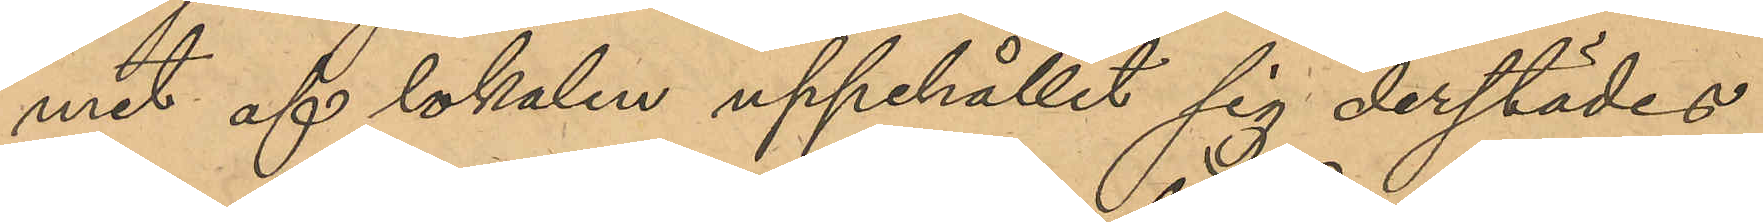met af lokalen uppehållit sig derstädes
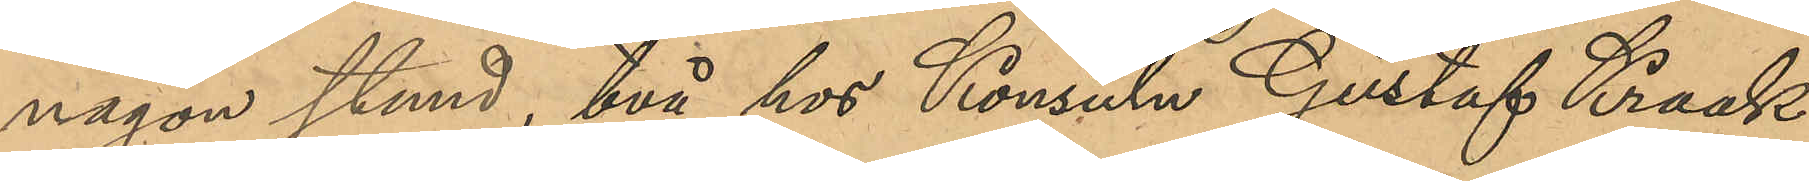någon stund, två hos Konsuln Gustaf Kraak
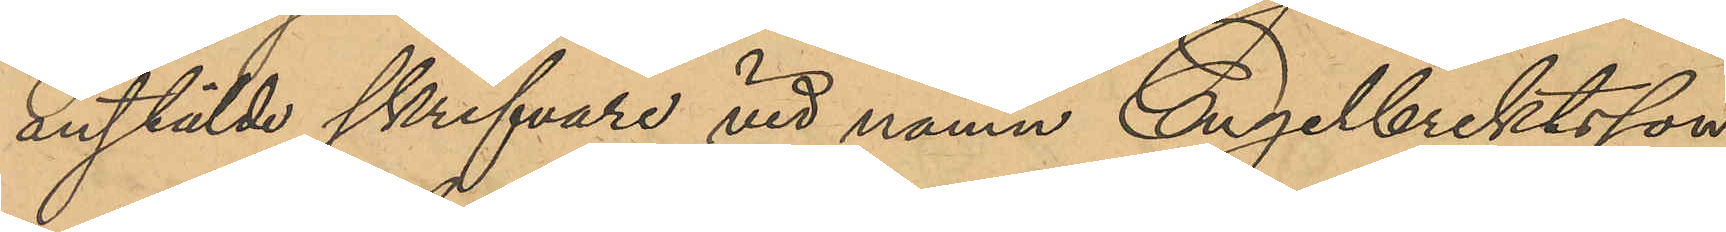anstälde skrifvare vid namn Engelbrektsson
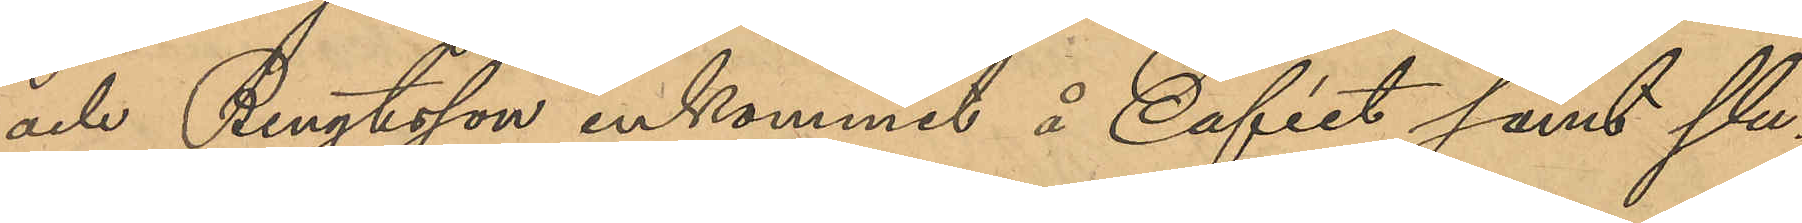och Bengtsson inkommit å Caféet samt slu¬
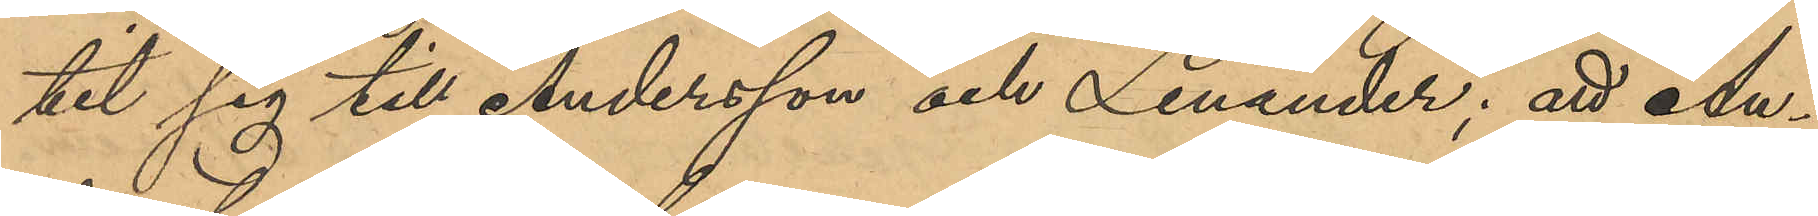tit sig till Andersson och Lenander; att An¬
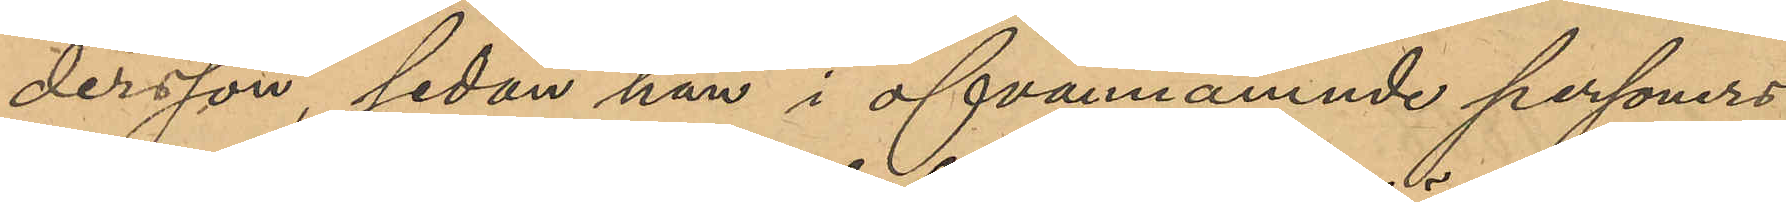dersson, sedan i ofvannamnde personers
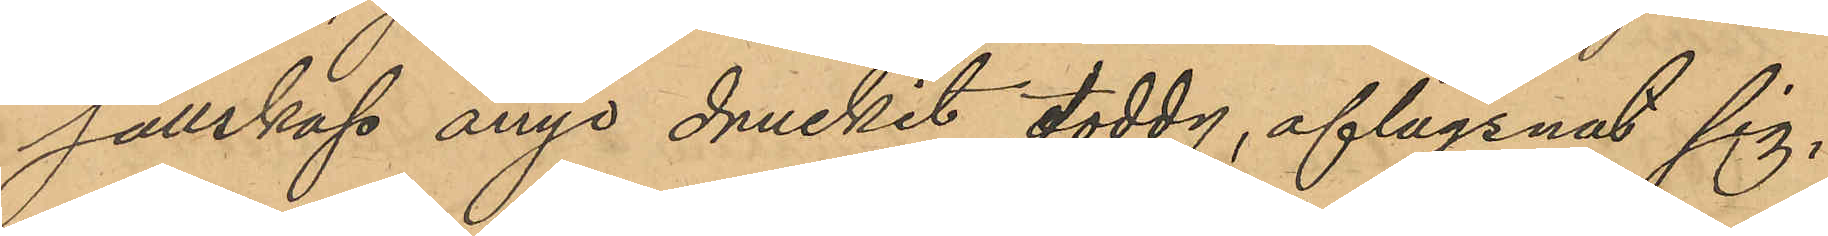sällskap ånyo druckit toddy, aflägsnat sig,
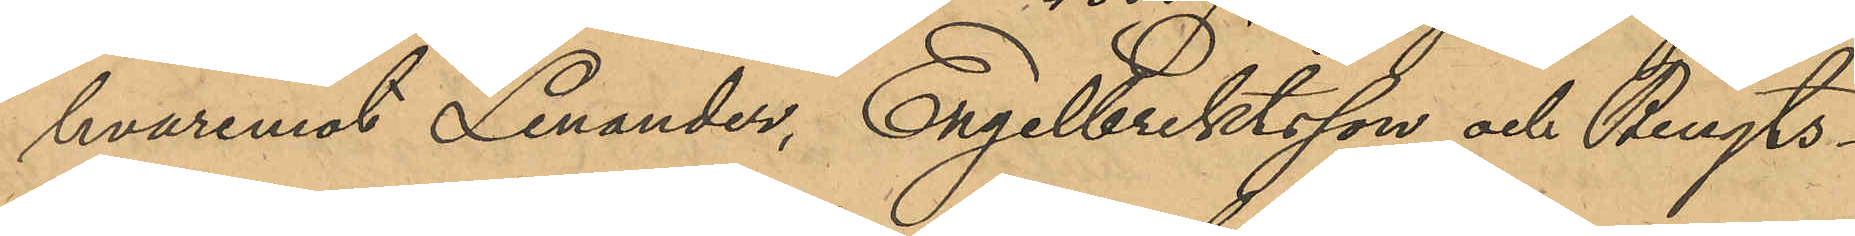hvaremot Lenander, Engelbrektsson och Bengts¬
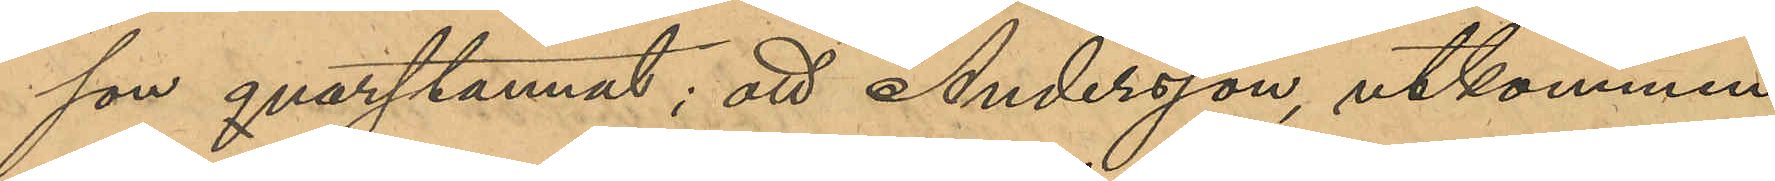son qvarstannat; att Andersson, utkommen
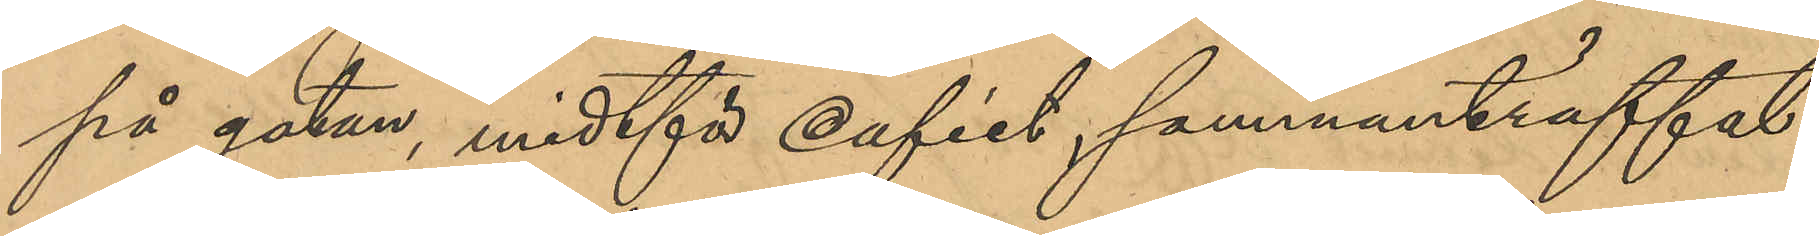på gatan, midtför Caféet, sammanträffat
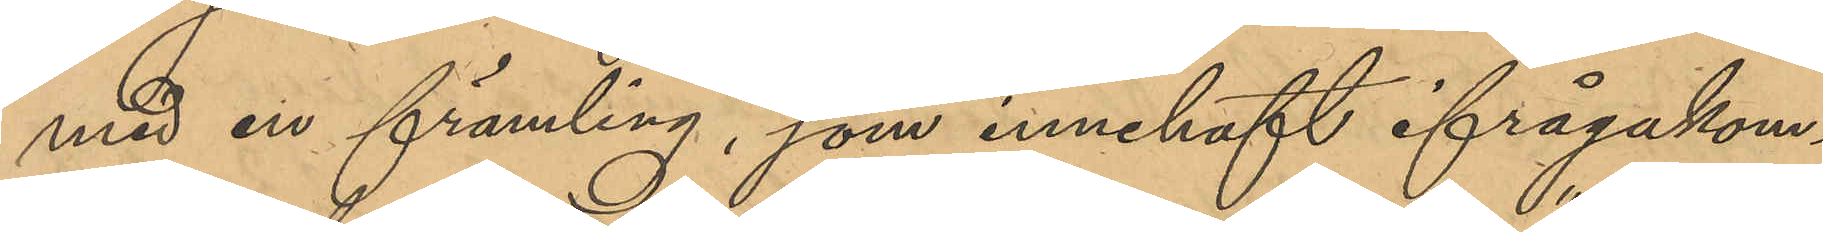med en främling, som innehaft ifrågakom¬
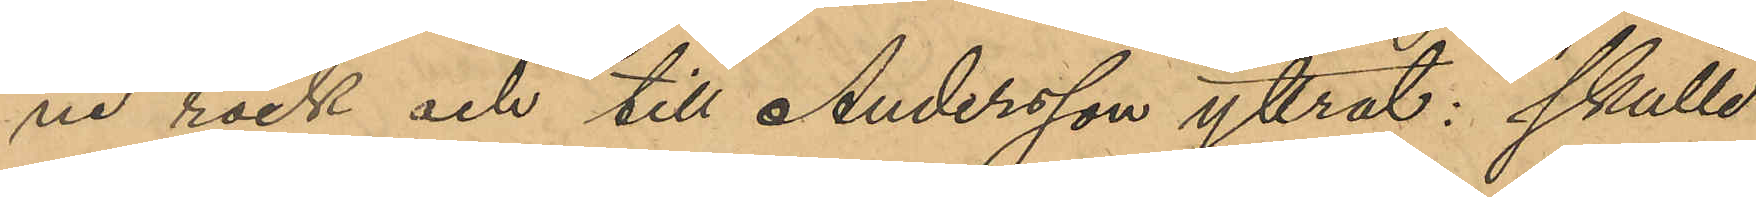ne rock och till Andersson yttrat: "skulle
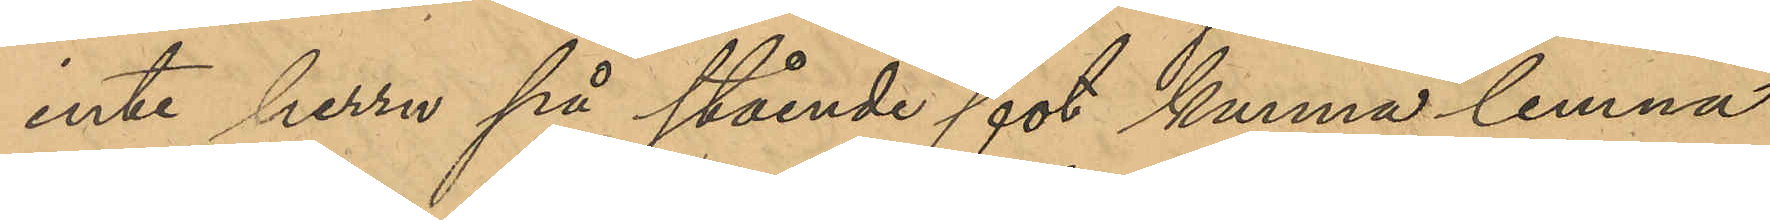inte herrn på stående fot kunna lemna
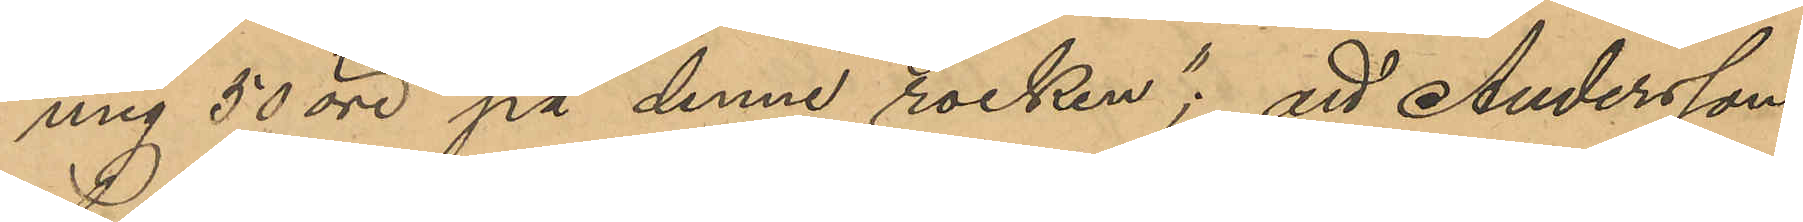mig 50 öre på denne rocken"; att Andersson
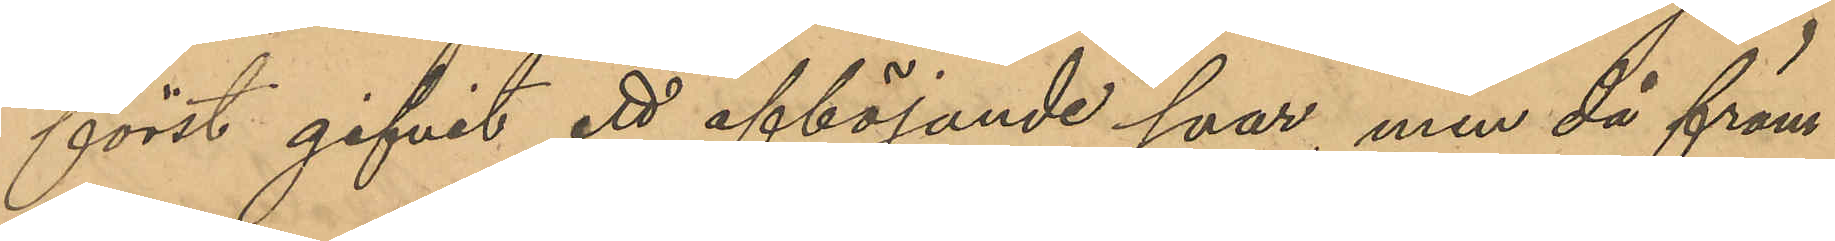först gifvit ett avböjande svar, men då främ¬
